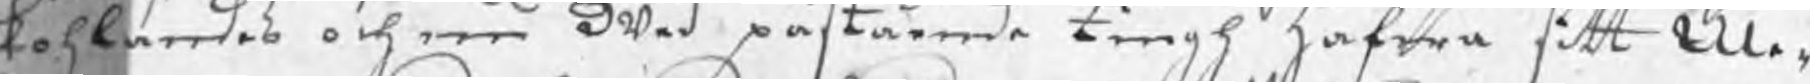kohlandes och nu wed påstående tingh hafwa sitt Me¬
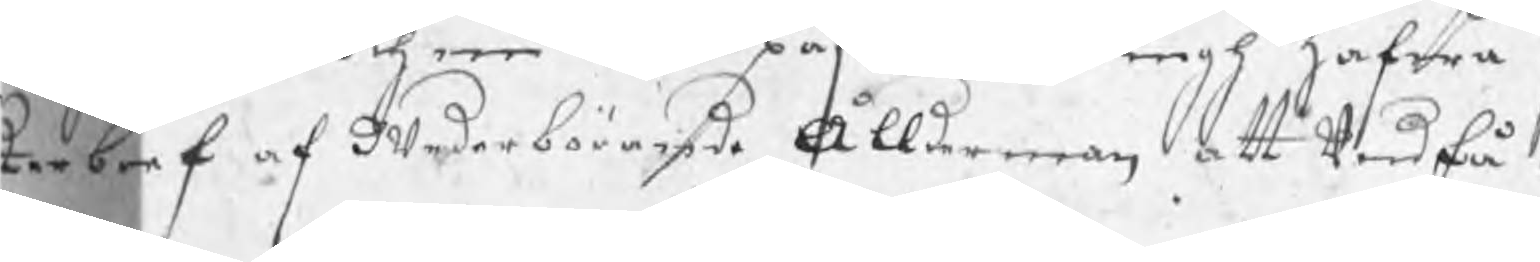terbref af wederbörande Ållerman att undfå.
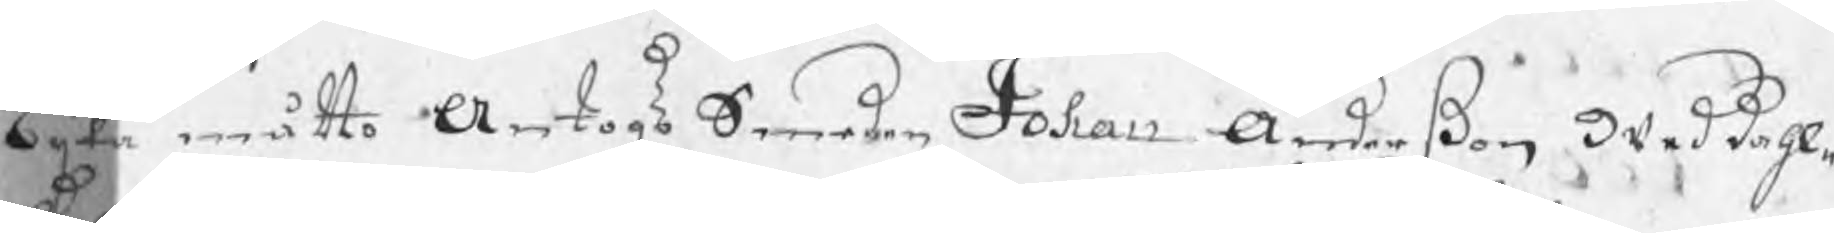lijka måtto Antogs Smeden Johan Anderßon wed dahl¬
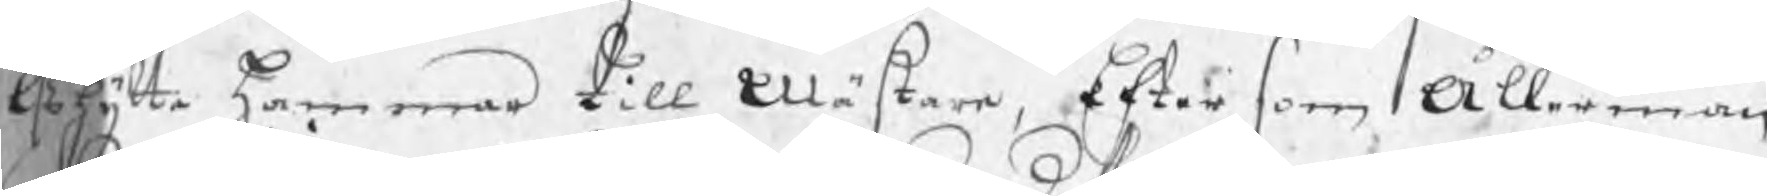alshytte Hammar till Mästare, Efter som Ållerman
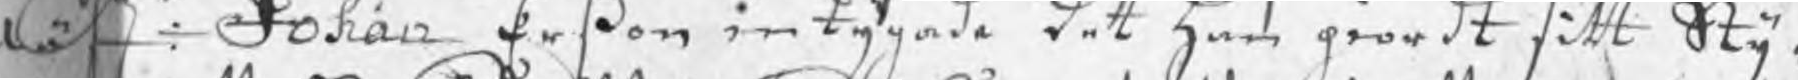ästr: Johan Erßon intygade det han giordt sitt Sty¬
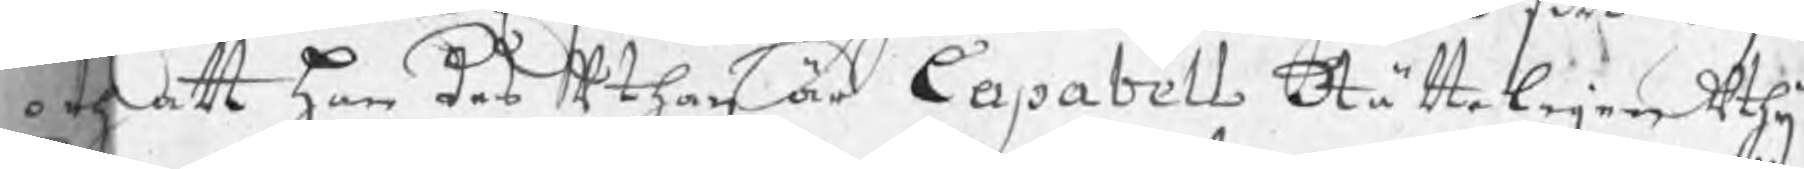e och att han des uthan är Capabell, Rätteligen uthij
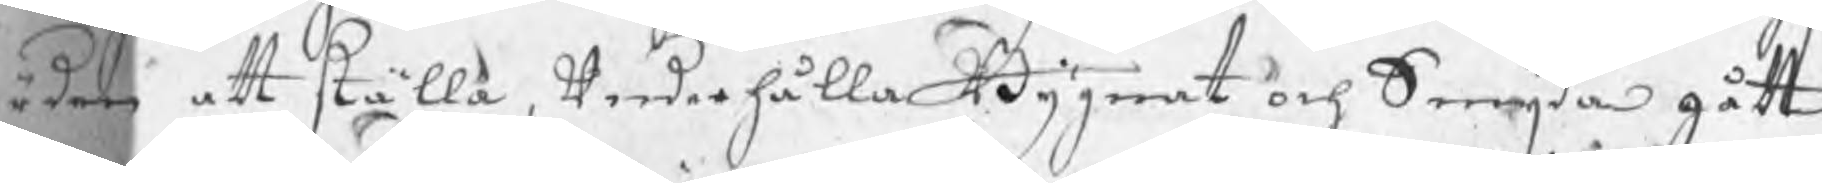ärden att ställa, underhålla Bygnat och Smijda gått
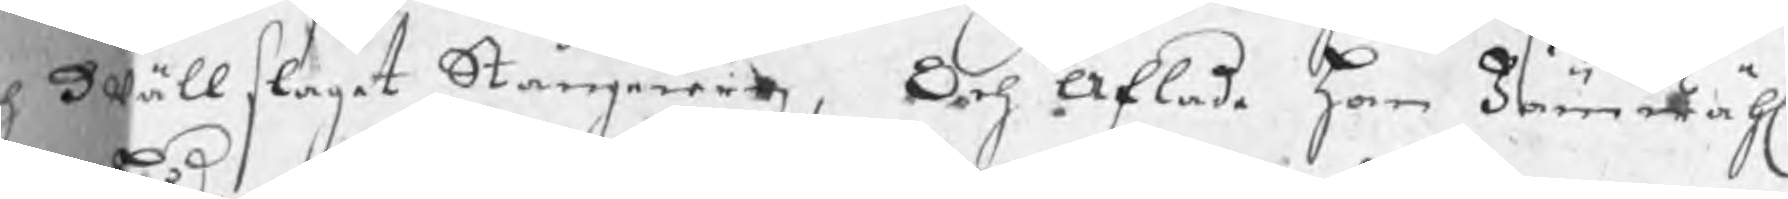h wällslaget Stångjern, Och Aflade han Jämwähl
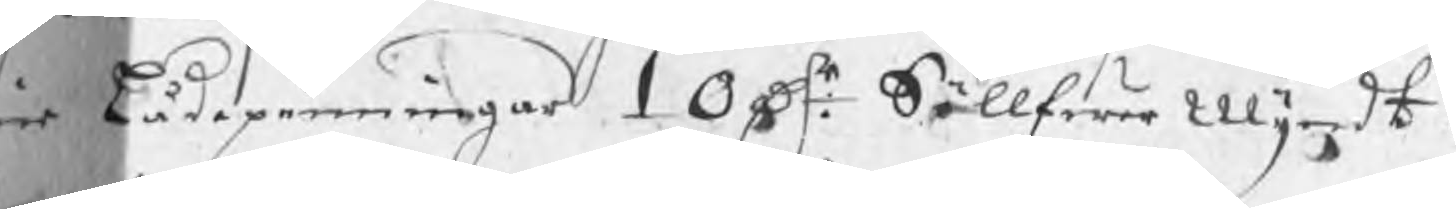ne lådepenningar 10 dr: SöllfwerMyndt.
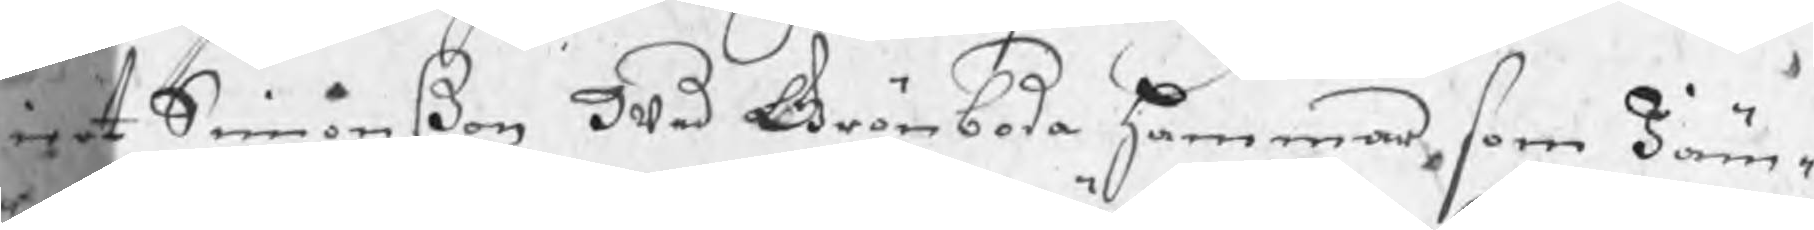iert Simonßon wed Grönboda hammar, som Jäm¬
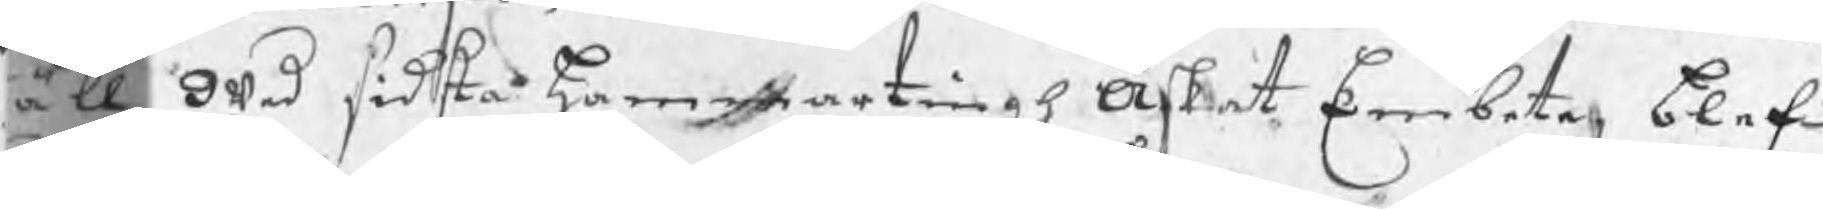äll wed sidsta hammartingh Äskat Embete, blef
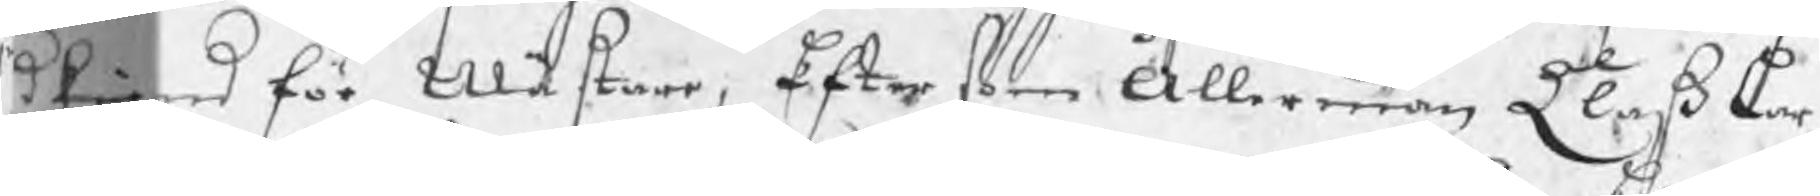rkiend för Mästare, Efter som Ållerman Clas Lar¬
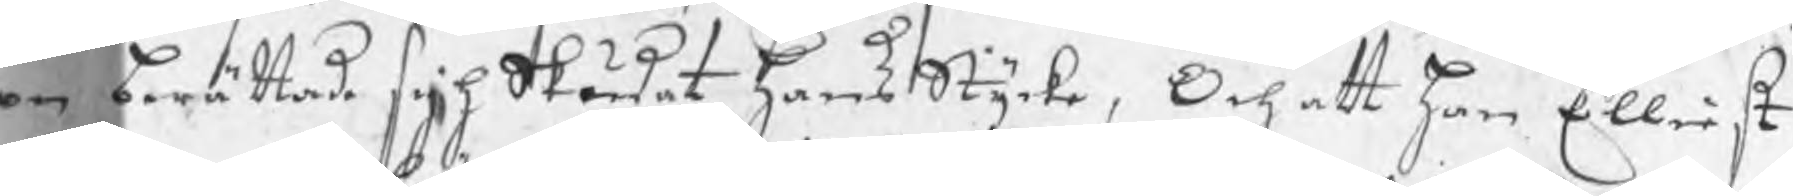on berättade sigh Skådat hans Stycke, Och att han Elliest
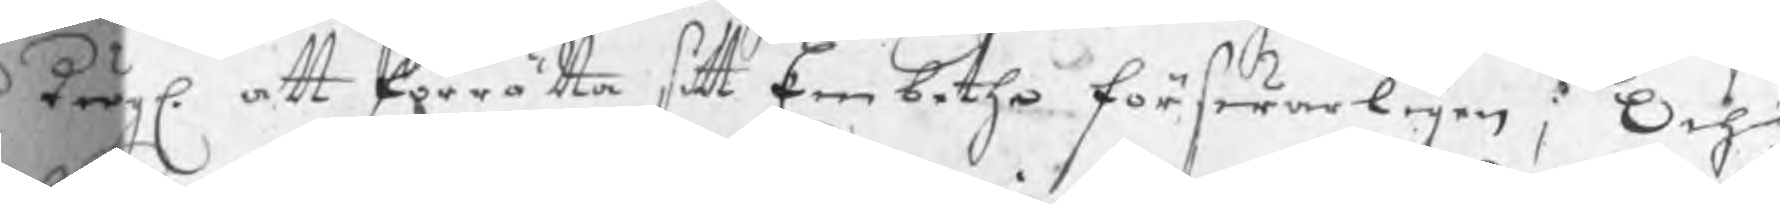r dugl. att förrätta sitt Embethe förswarligen; Och
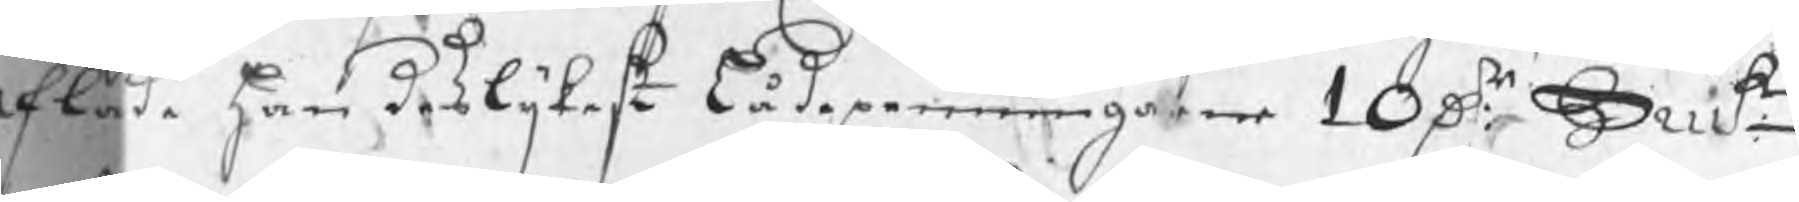Aflade han deslijkest lådepenningarne 10 Dr Smt: 
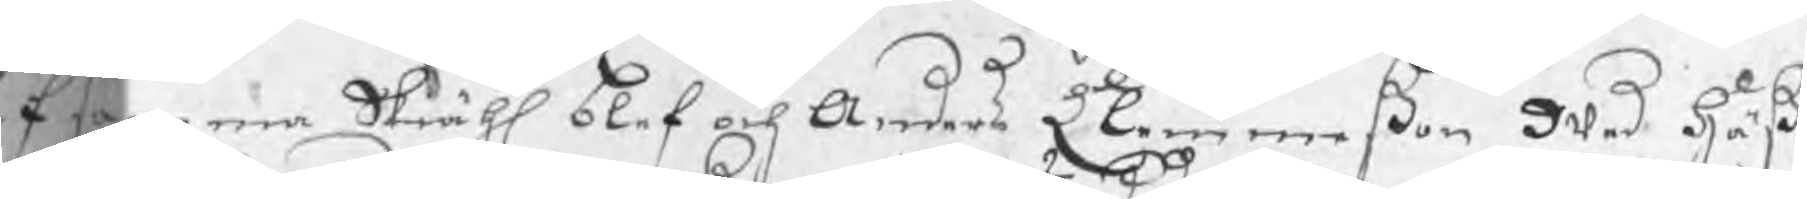f samma Skiähl blef och Anders Clemmeßon wed Häß¬
